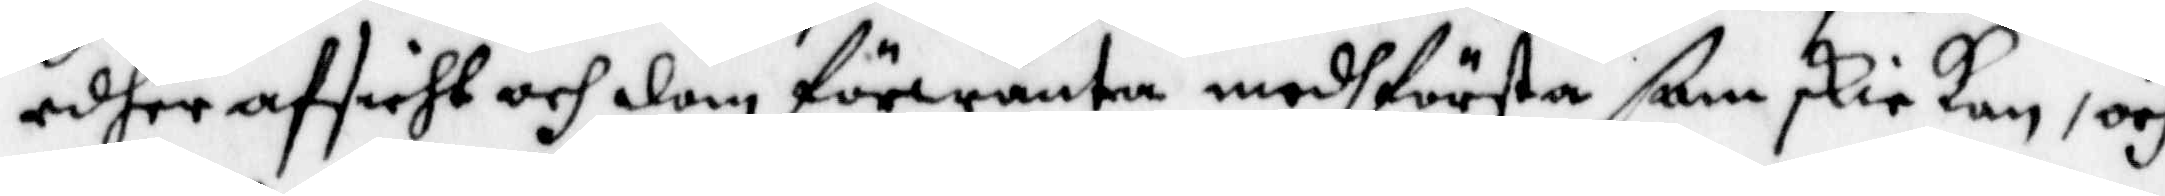edher afsieht och dom Förwäntar medh största ßam skickan, och
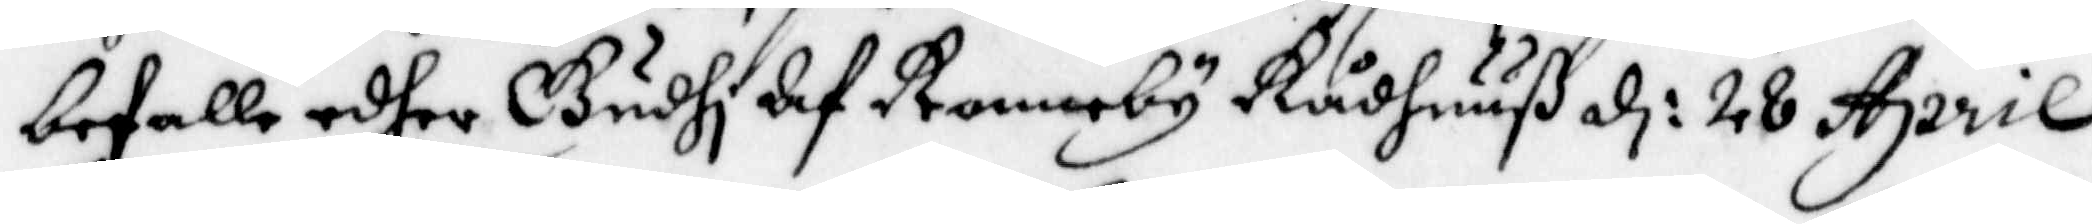befalla edher Gudhi Af Ronneby Rådhuuß d: 28 April
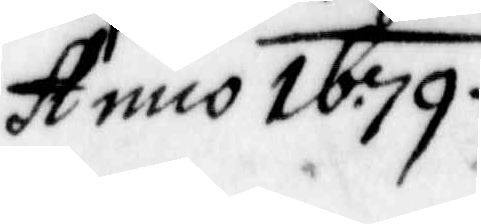Anno 1679.
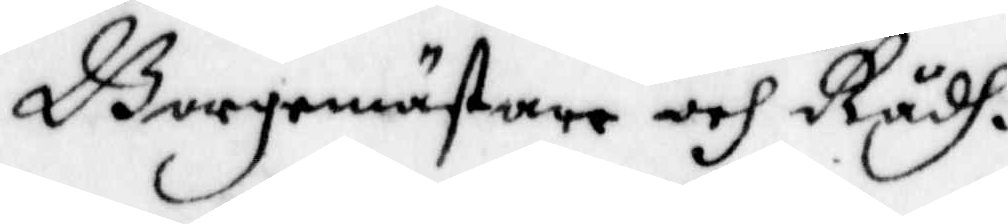Borgmästare och Rådh.
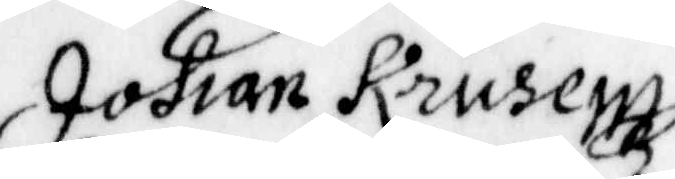Johan Krusen
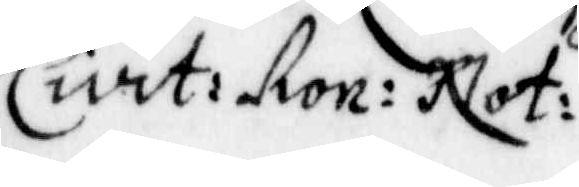Civit: Ron: Not:
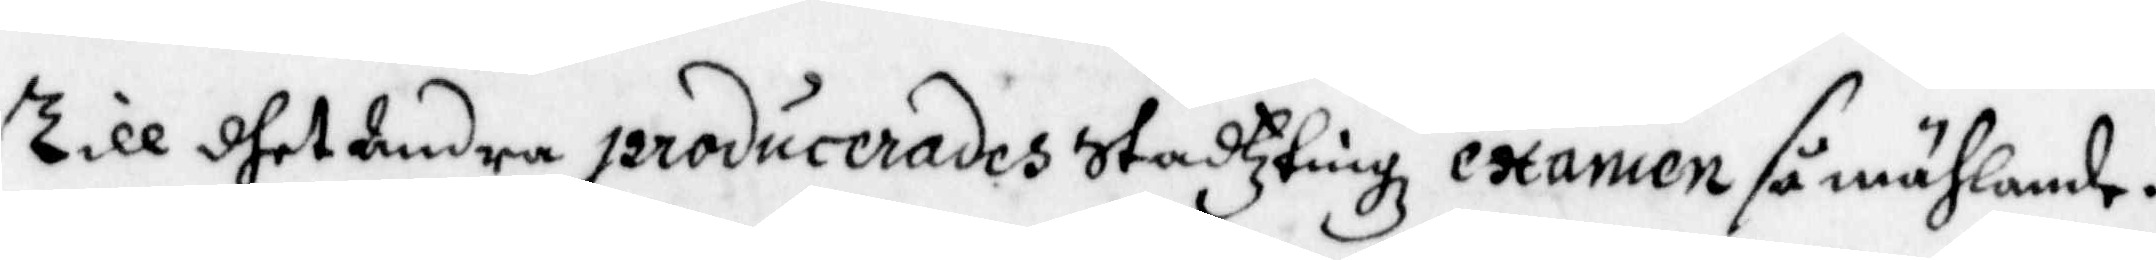Till dhet Andra producerades Stadzting examen så mählande.
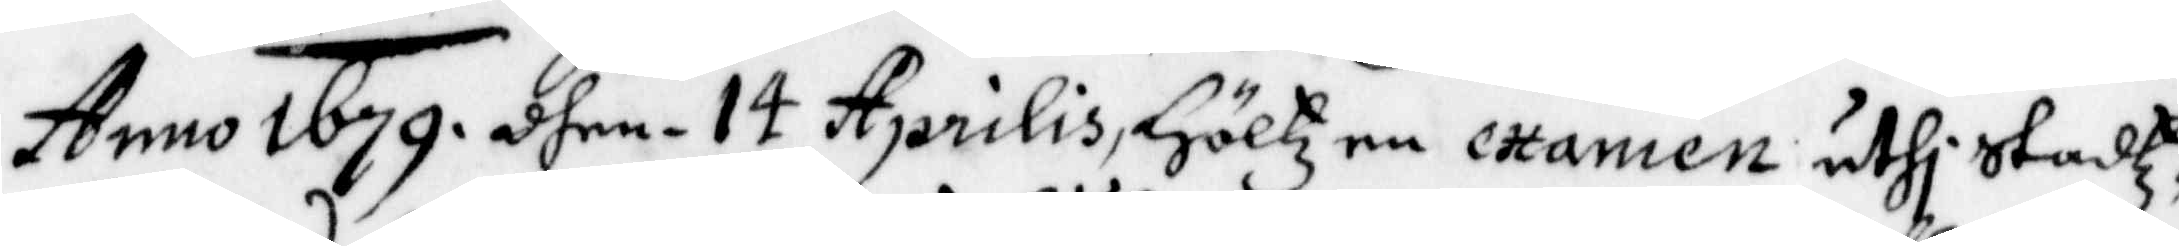Anno 1679. dhen 14 Aprilis, Höltz en examen uthi Stadz¬
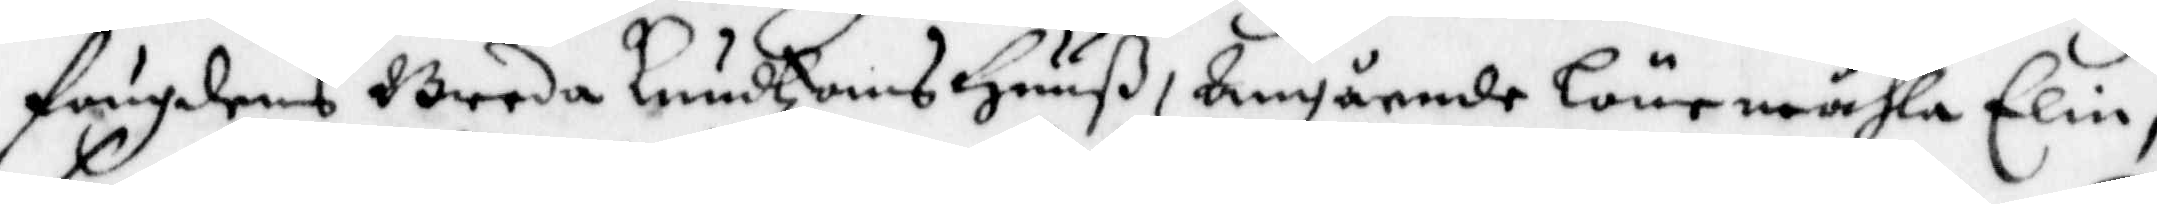Fougdens Breda Knudzons Huuß, Angående Lönemåhla Elin,
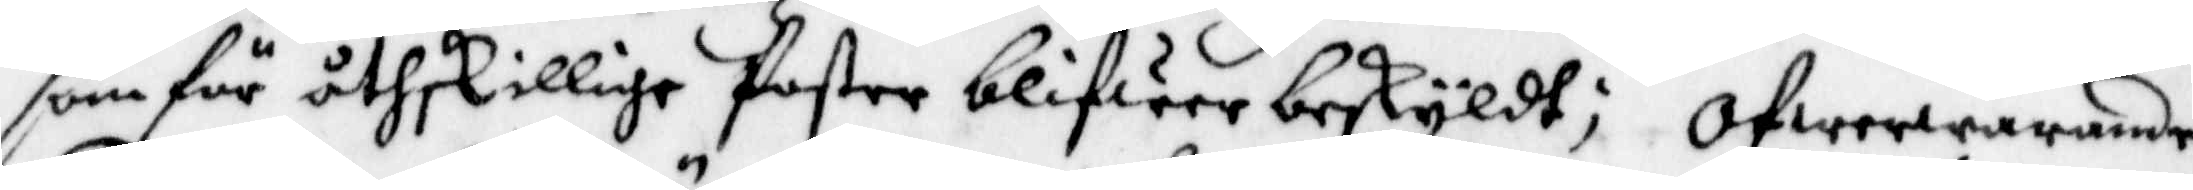som för åtskillige Poster blifwer beskyldt; Ofwerwarande
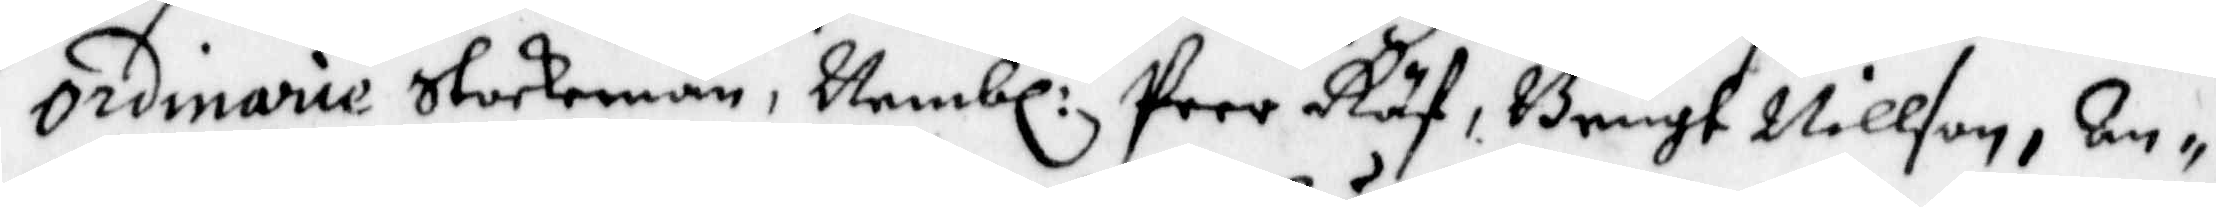ordinarie Stockemän, Nembl: Peer Räf, Bengt Nillson, An¬
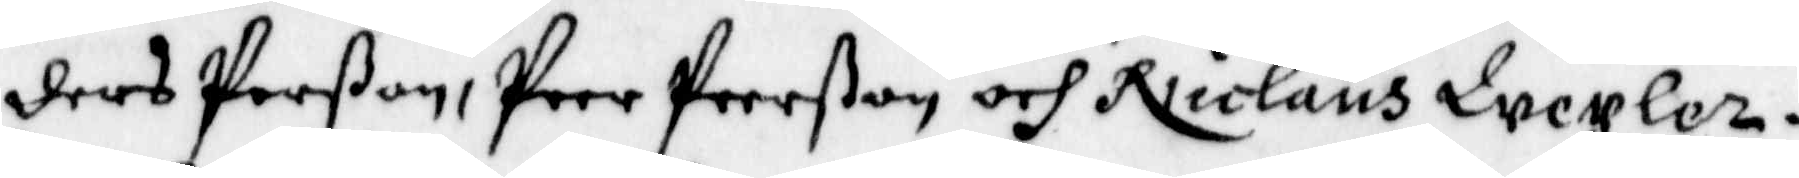ders Perßon, Peer Peerßon och Nicolaus Wexler.
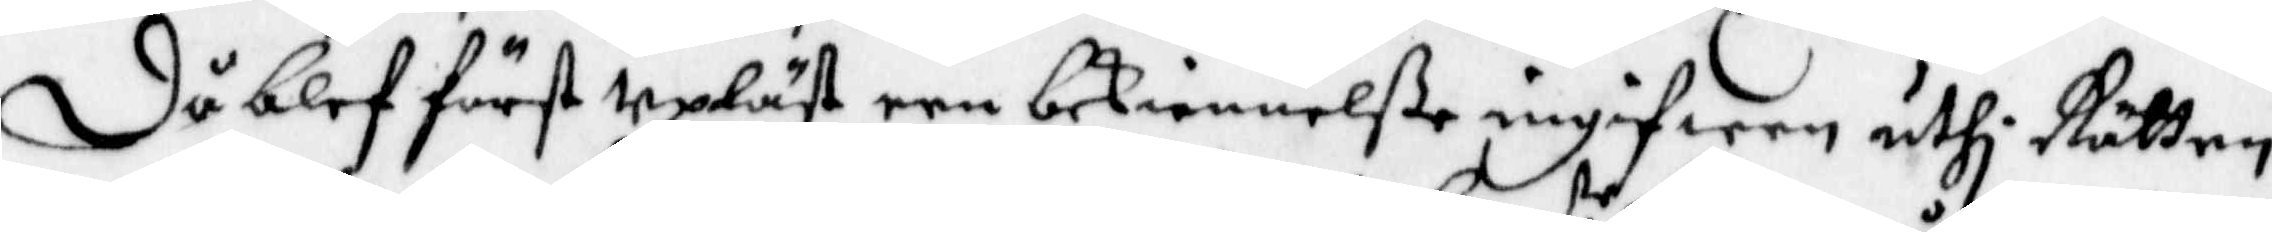Då blef först upläst een bekiennelße ingifwen uthi Rätten
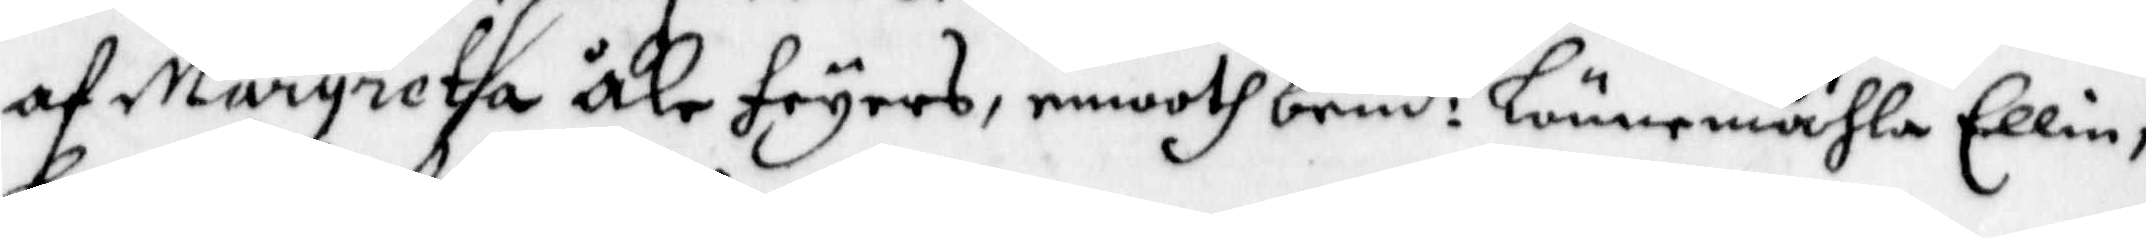af Margreta Åke Fryers, emooth bemd:e Lönnemåhla Ellin;
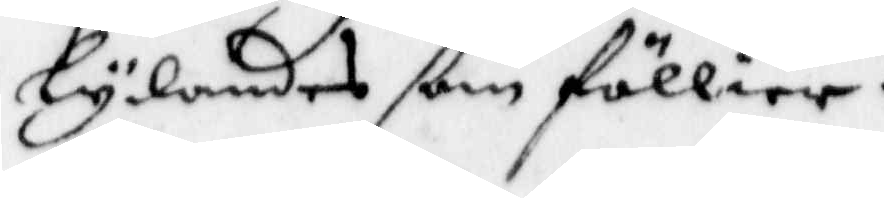Lydandes ßom föllier.
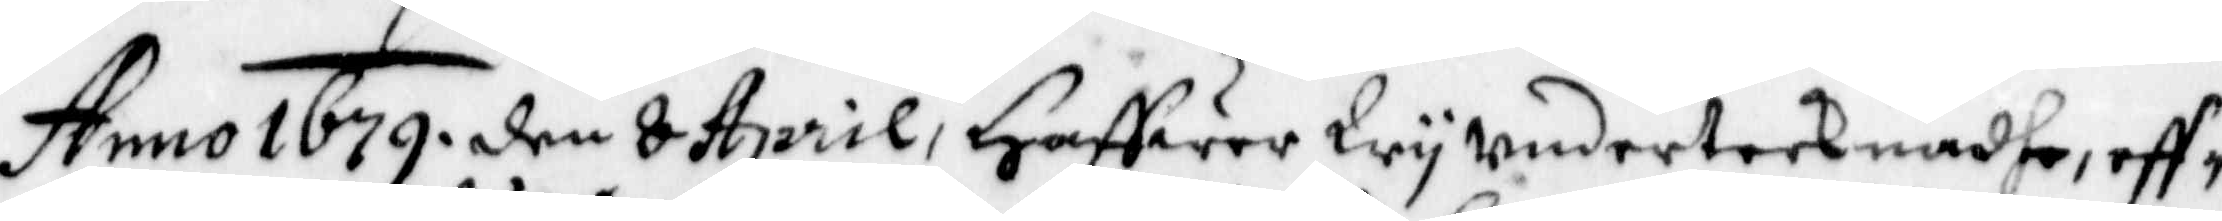Anno 1679. den 8 April, Haffwer Wy undertecknadhe, eff¬
